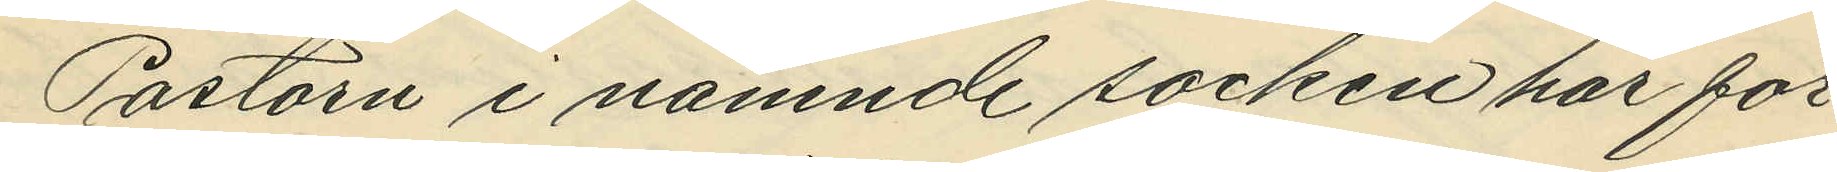Pastorn i nämnde socken har för¬
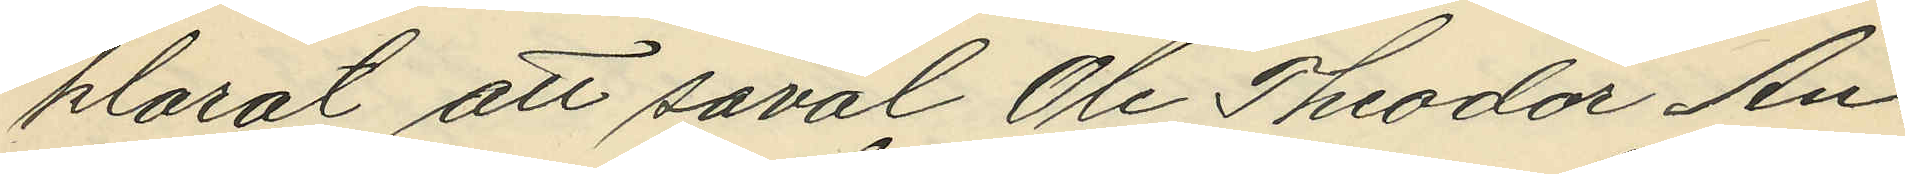klarat att såväl Ole Theodor An¬
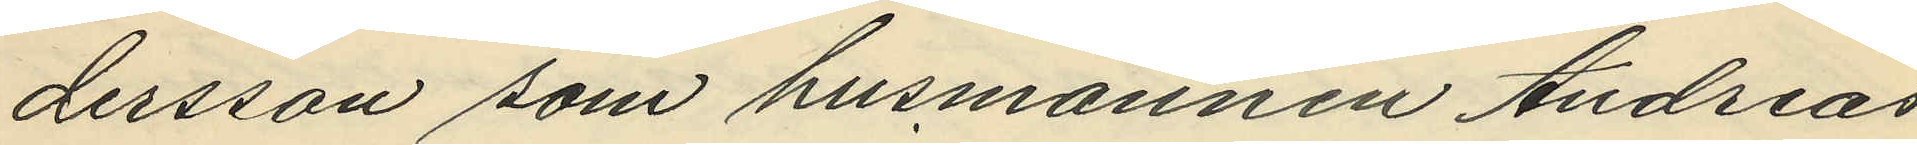dersson som husmannen Andreas
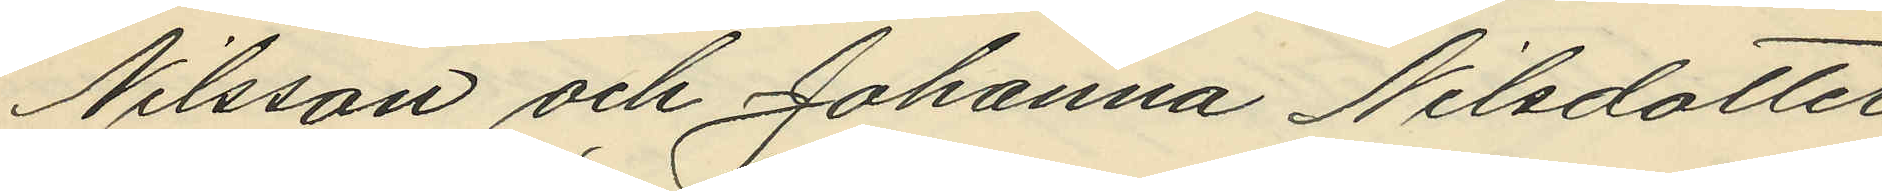Nilsson och Johanna Nilsdotter
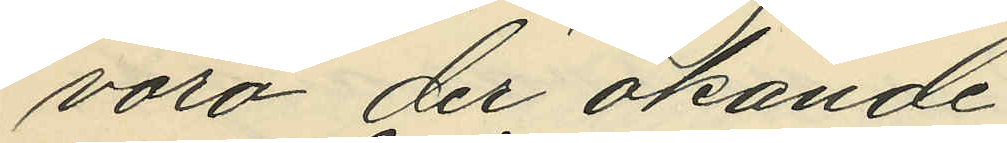voro der okände.
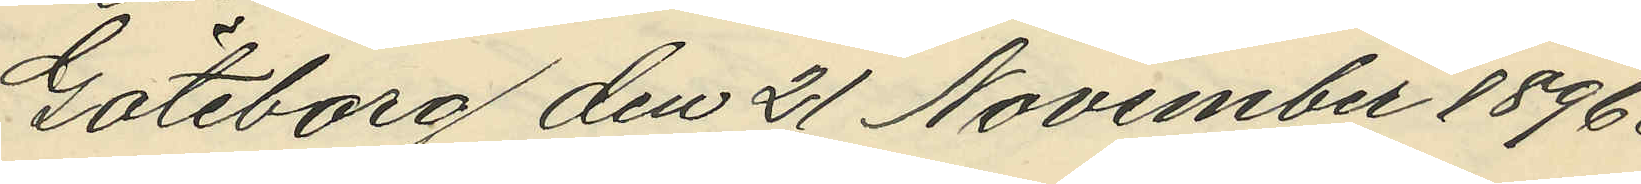Göteborg den 21 November 1896.
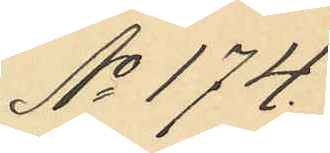No 174.
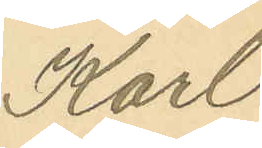Karl
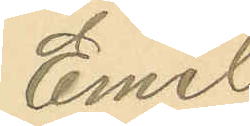Emil
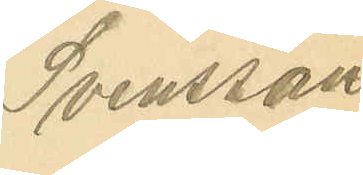Svensson.
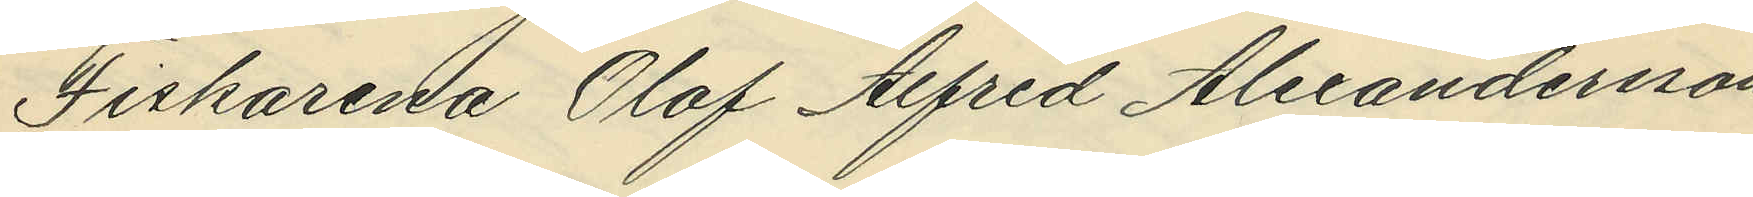Fiskarena Olof Alfred Alexandersson
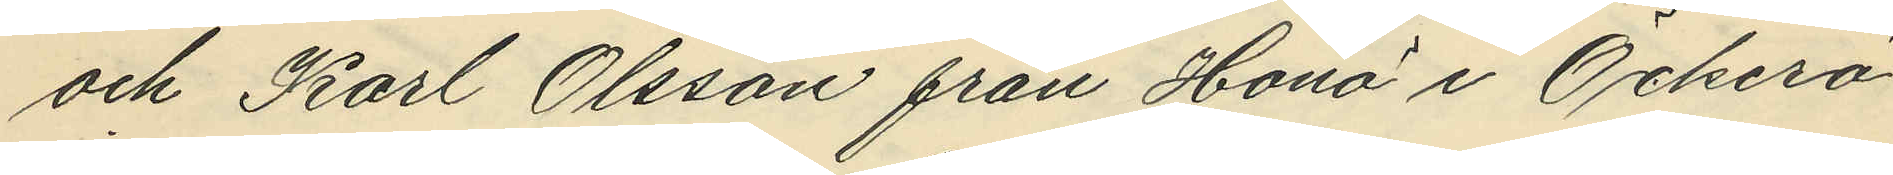och Karl Olsson från Hönö i Öckerö
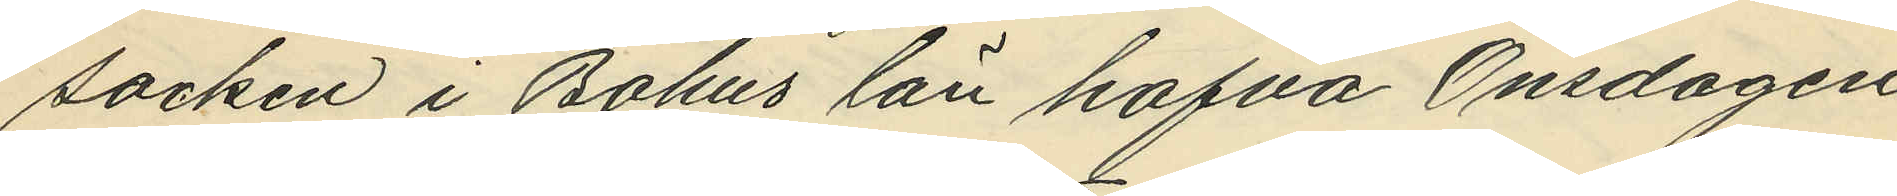socken i Bohus län hafva Onsdagen
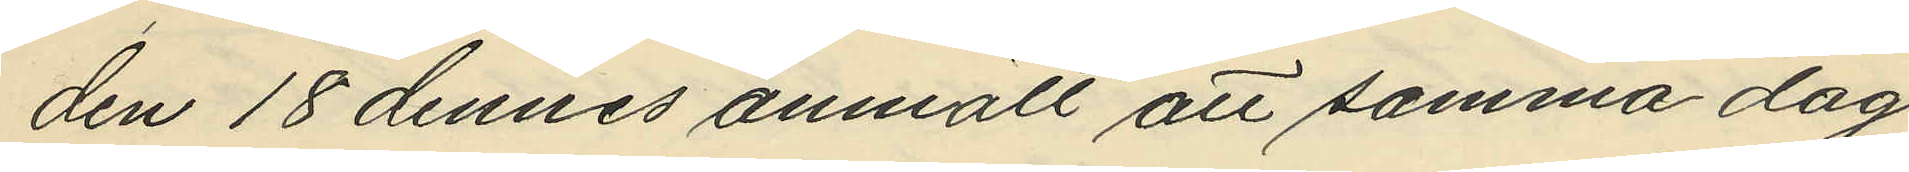den 18 dennes anmält att samma dag
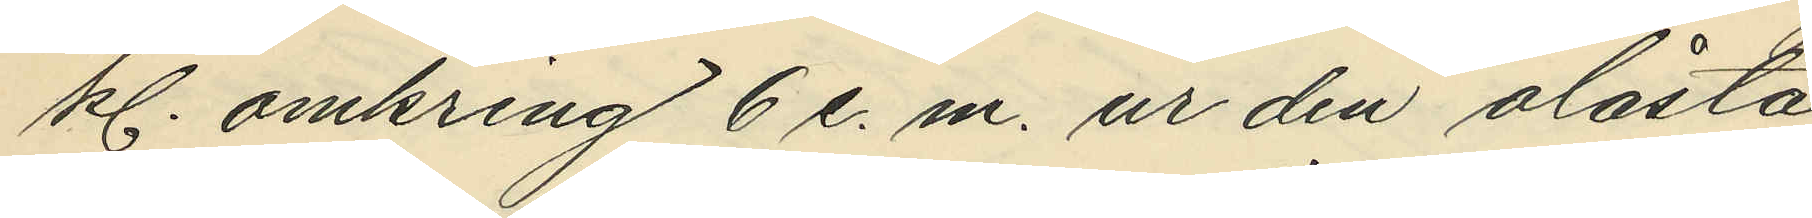kl. omkring 6 e. m. ur den olåsta
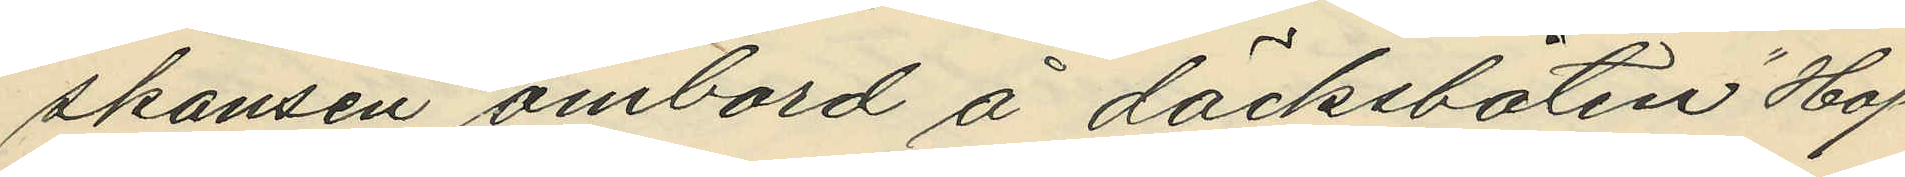skansen ombord å däcksbåten "Hop¬
